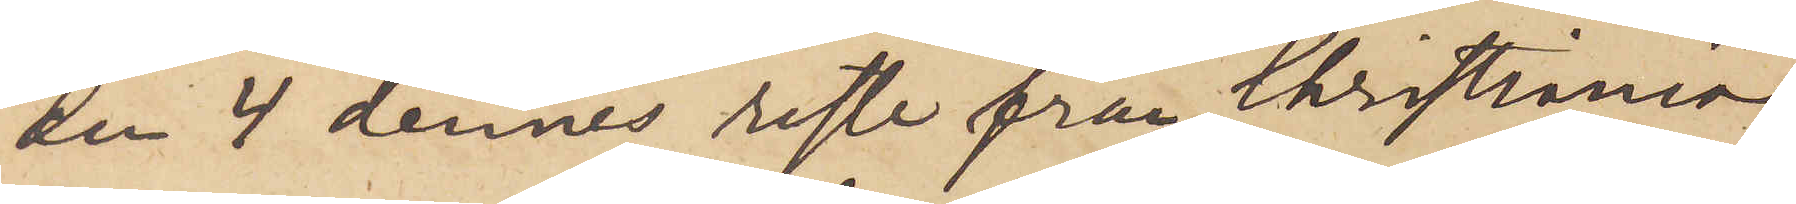den 4 dennes reste från Christiania;
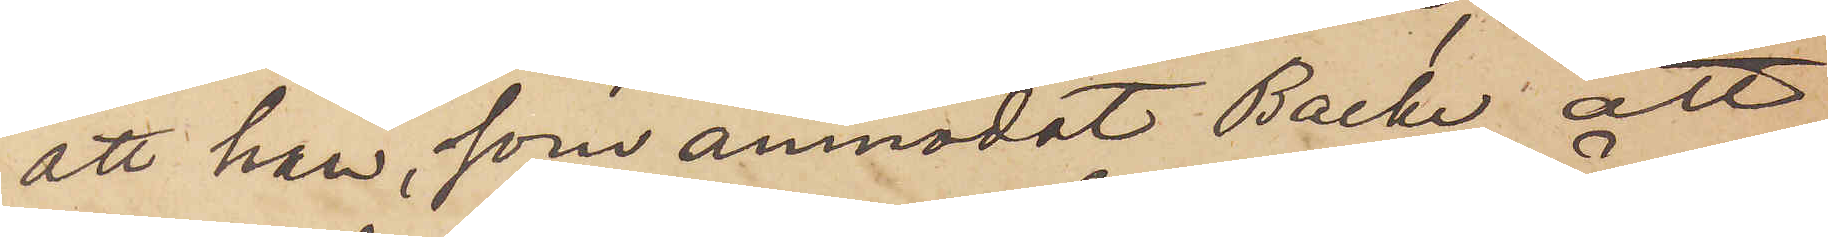att han, som anmodat Backe att
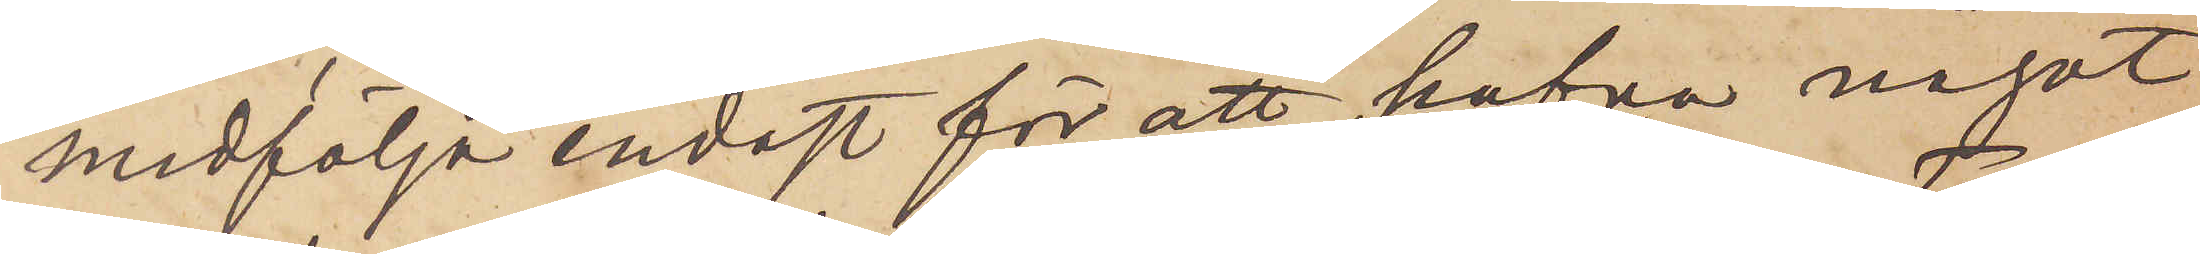medfölja endast för att hafva något
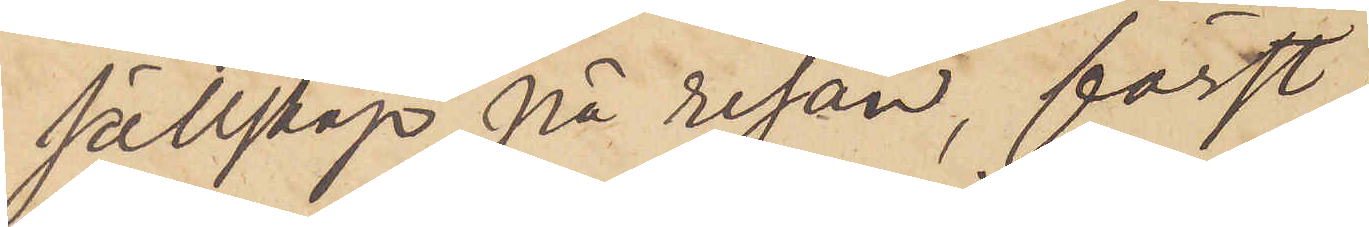sällskap på resan, först
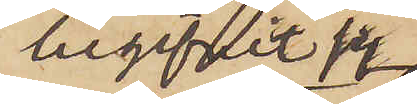begifvit sig
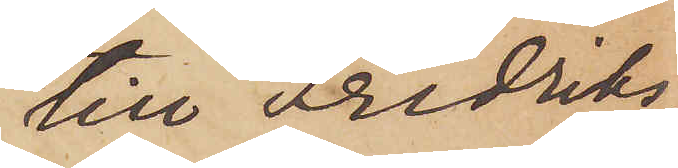till Fredriks¬
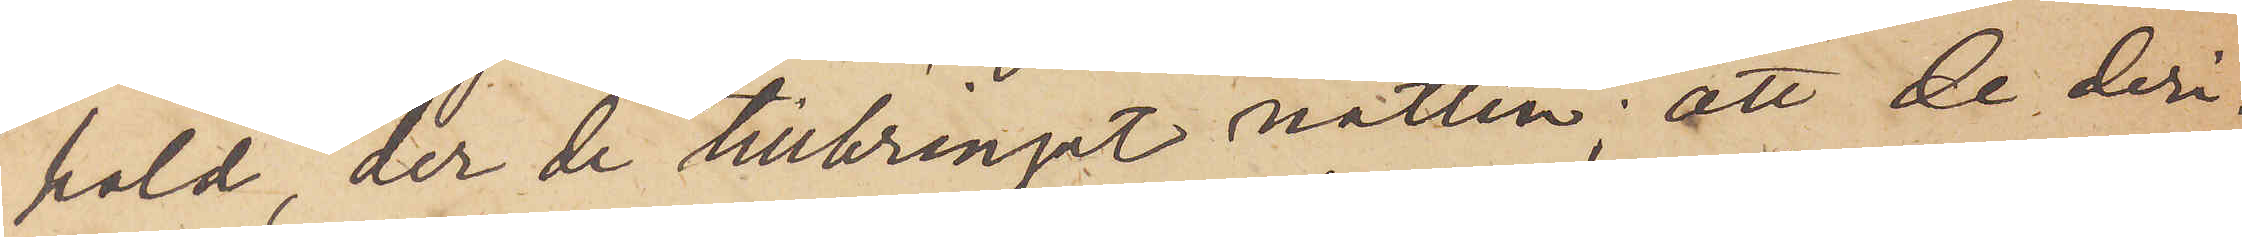hald der de tillbringat natten; att de deri¬
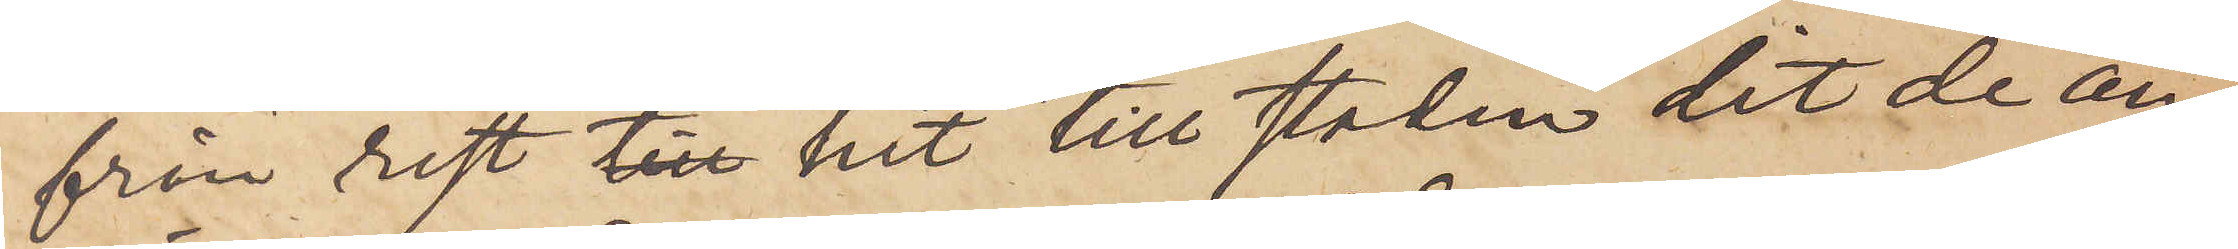från rest till hit till staden dit de an¬
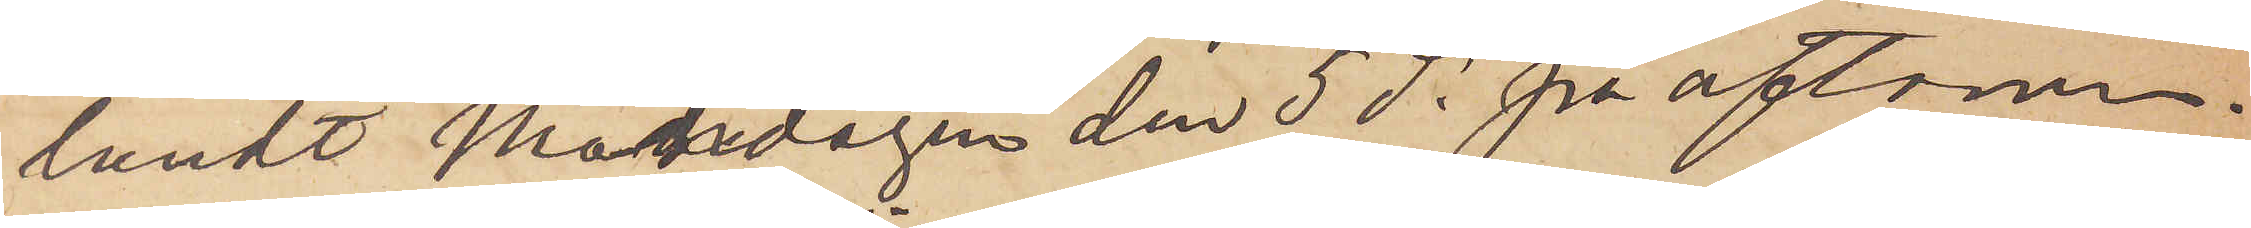ländt Måndagen den 5 ds på aftonen
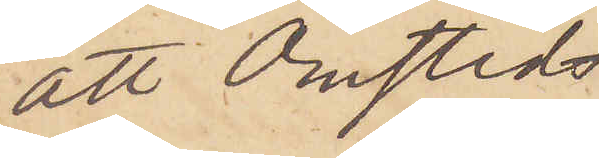att Omsted,
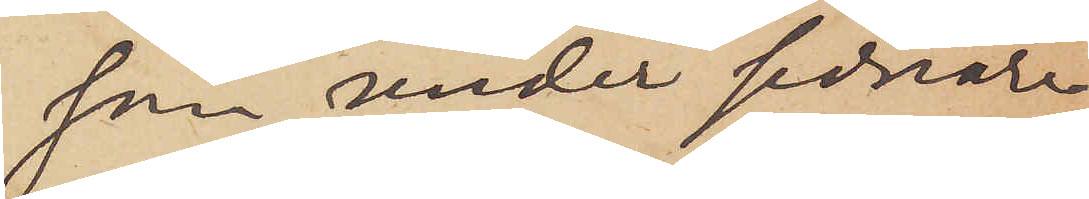som under sednare
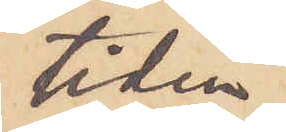tiden
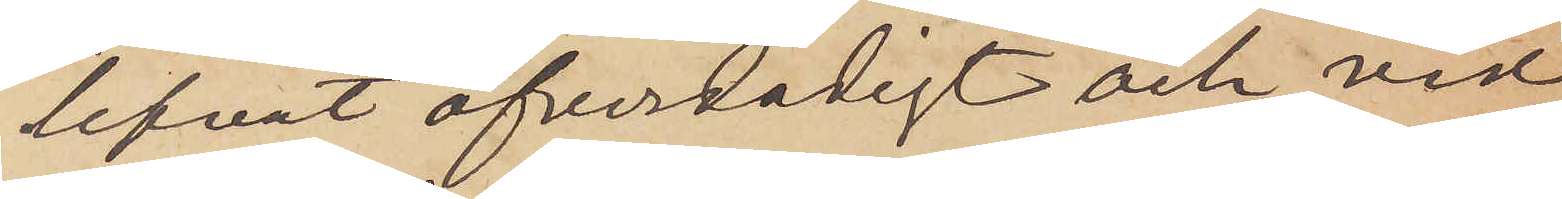lefvat öfverdådigt och vid
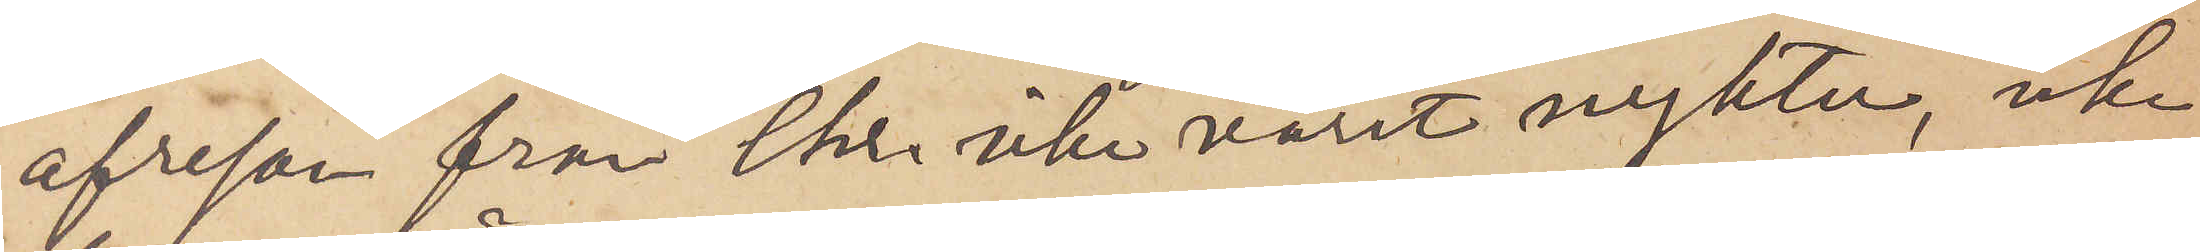afresan från Chr. icke varit nykter, icke
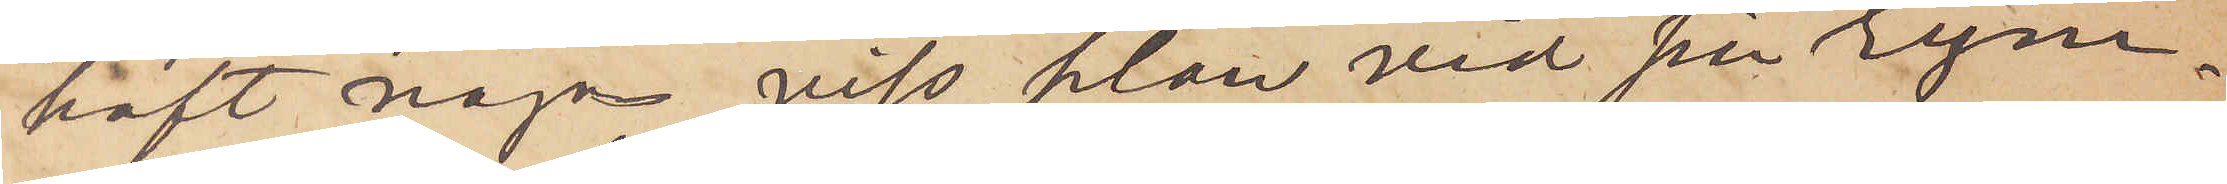haft någon viss plan vid sin rym¬
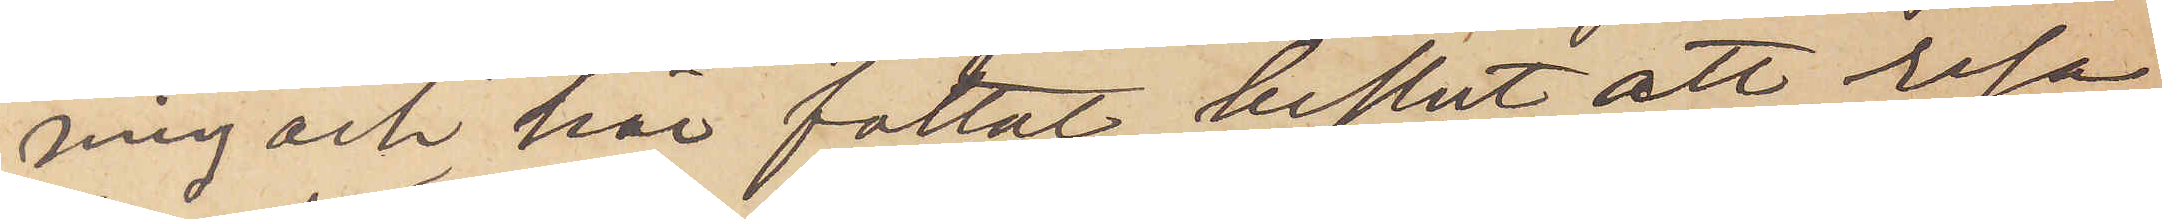ning och här fattat beslut att resa
